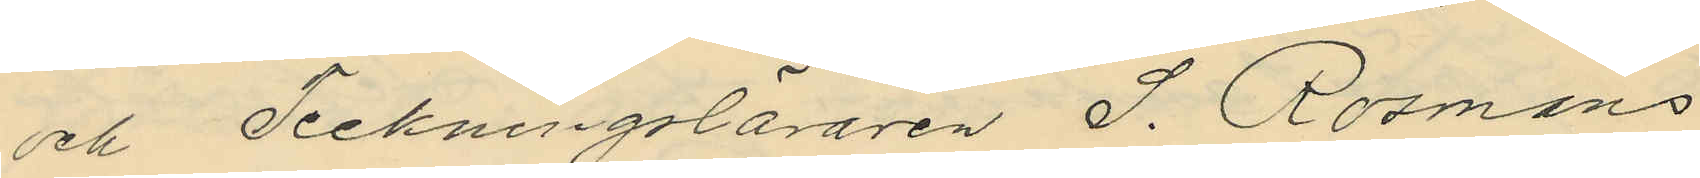och Teckningsläraren S. Rosmans
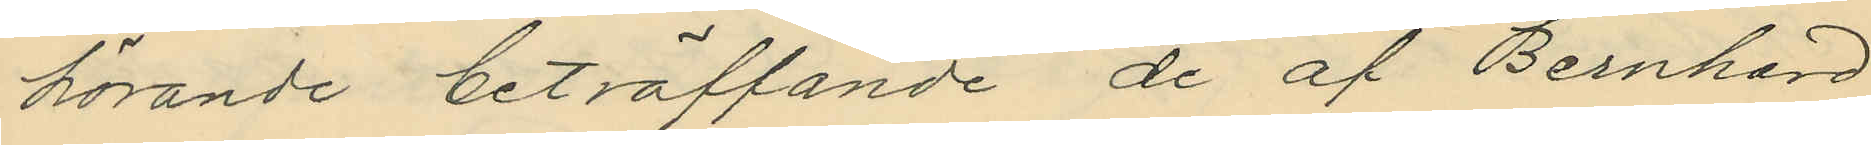hörande beträffande de af Bernhard
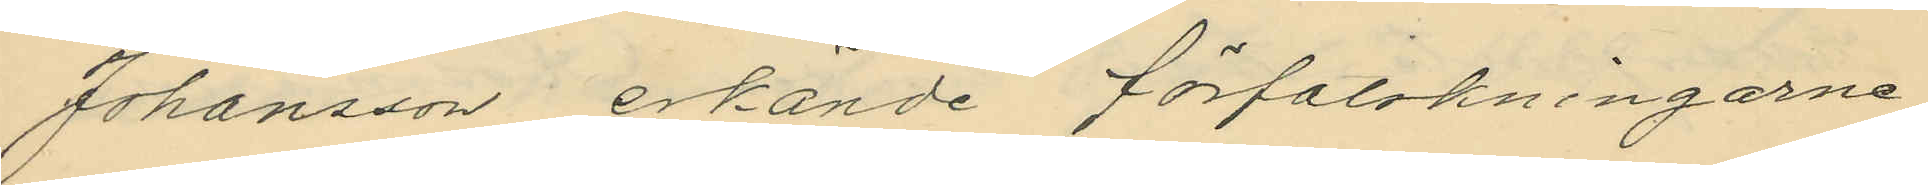Johansson erkände förfalskningarne,
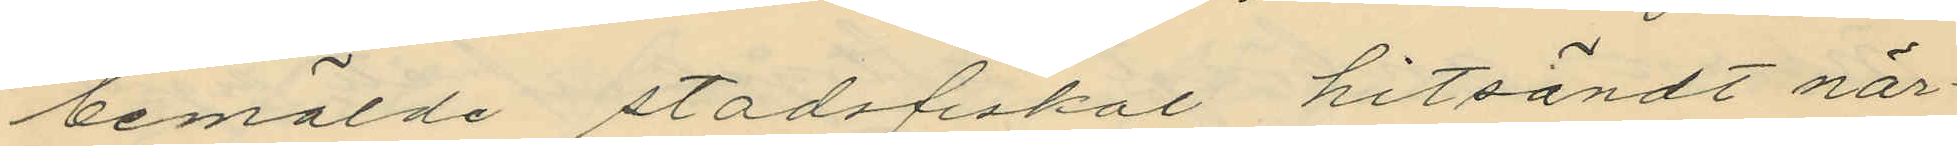bemälde stadsfiskal hitsändt när¬
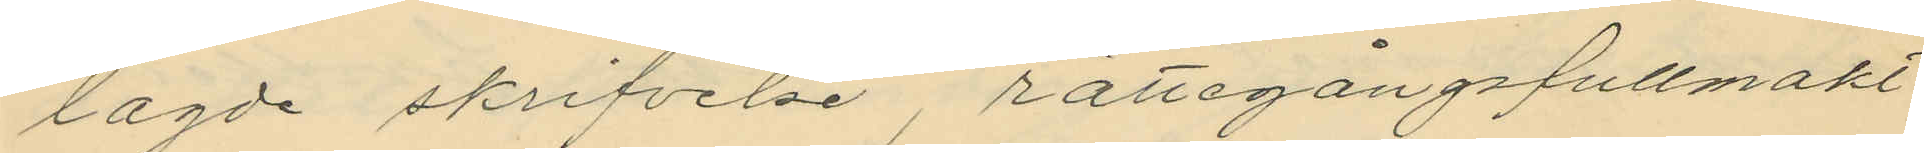lagde skrifvelse, rättegångsfullmakt
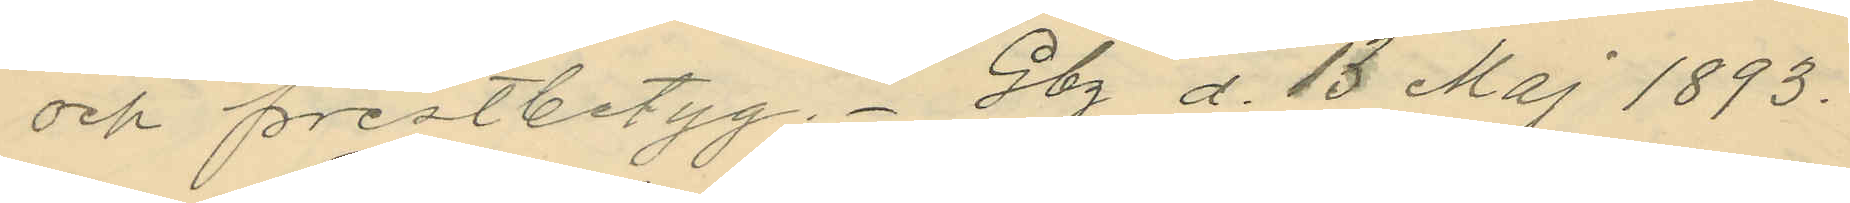och prestbetyg. Gbg d. 13 Maj 1893.
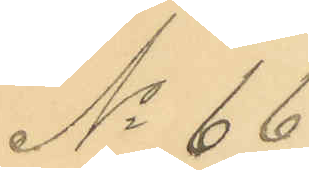No 66.
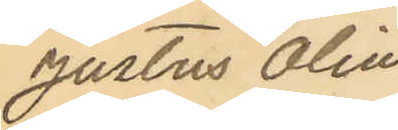Justus Olin¬
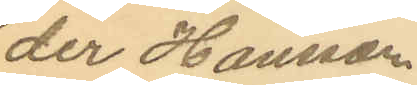der Hansson
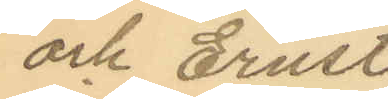och Ernst
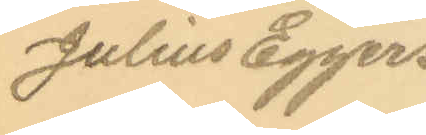Julius Eggers.
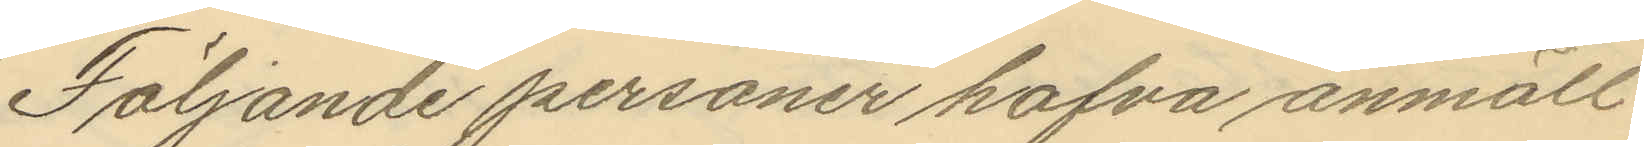Följande personer hafva anmält
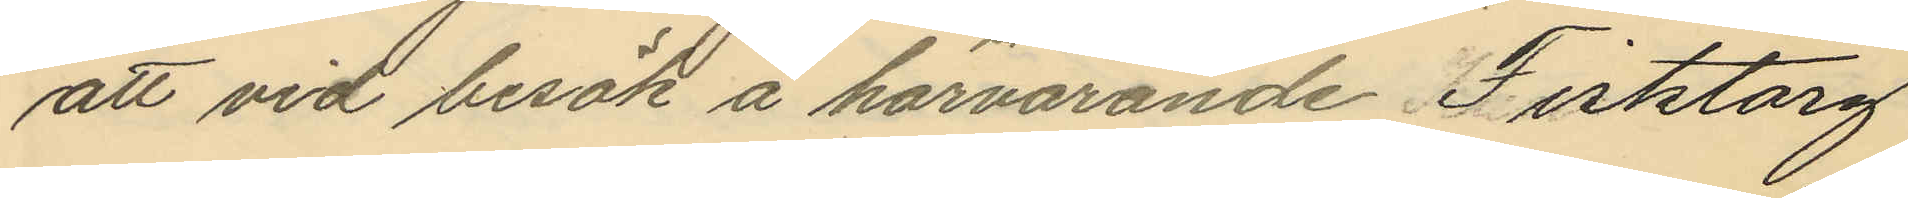att vid besök å härvarande Fisktorg
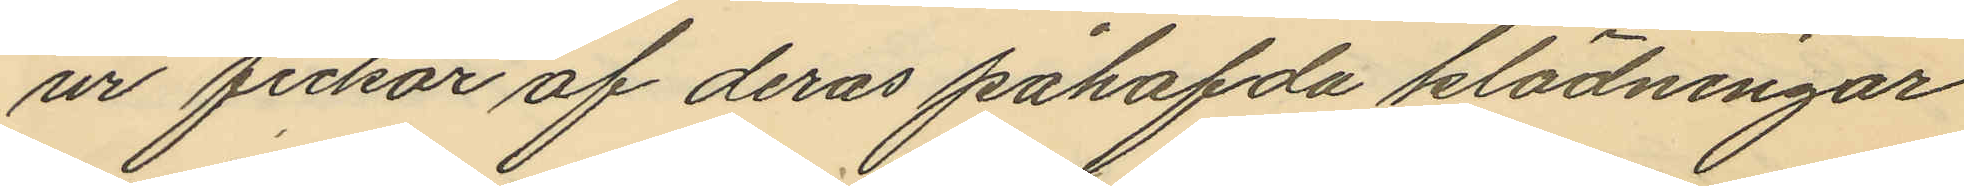ur fickor af deras påhafda klädningar
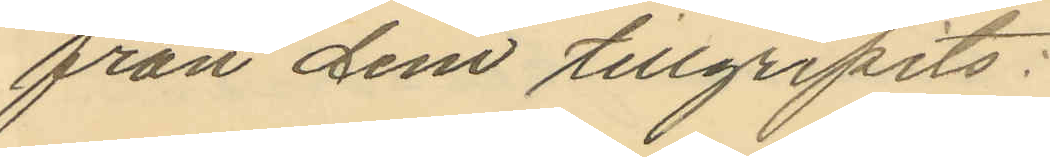från dem tillgripits:
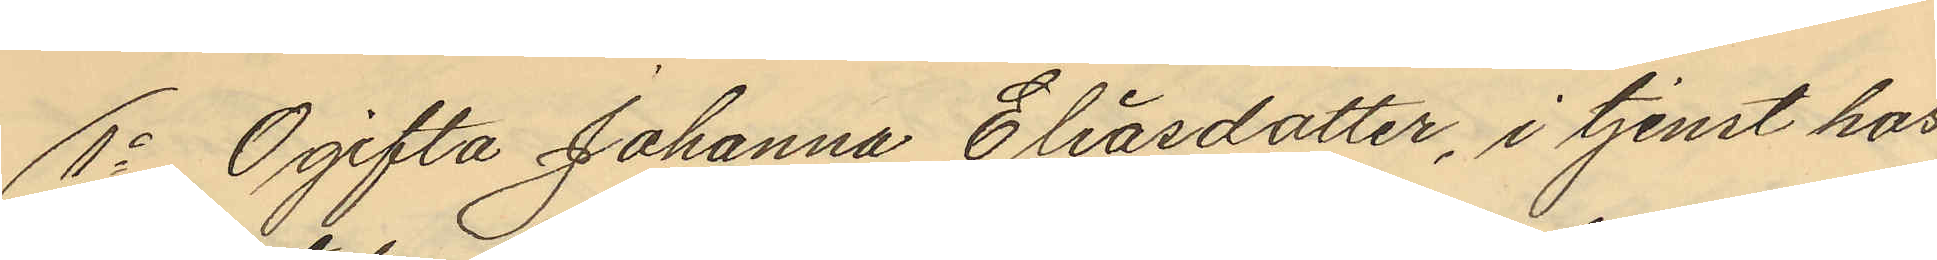1o Ogifta Johanna Eliasdotter, i tjenst hos
